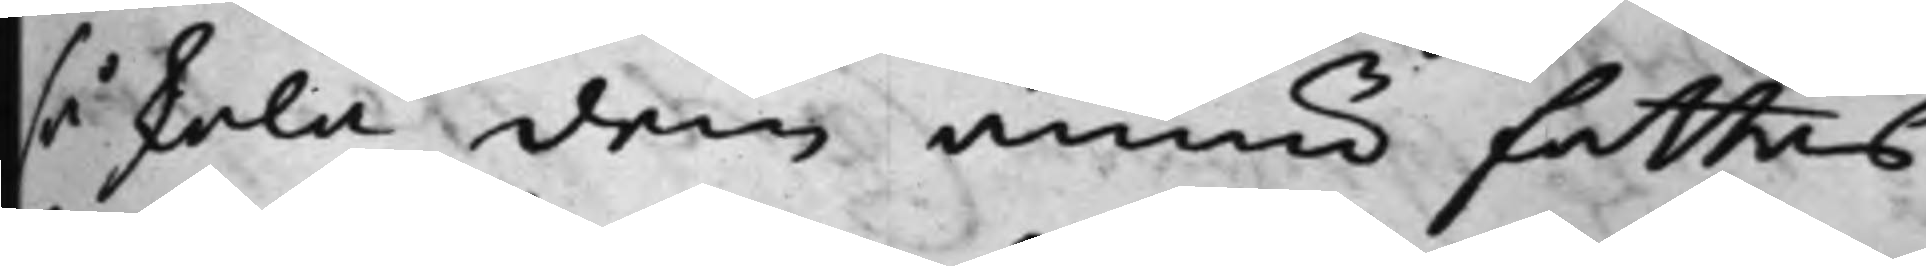så skola dem ännu fattas
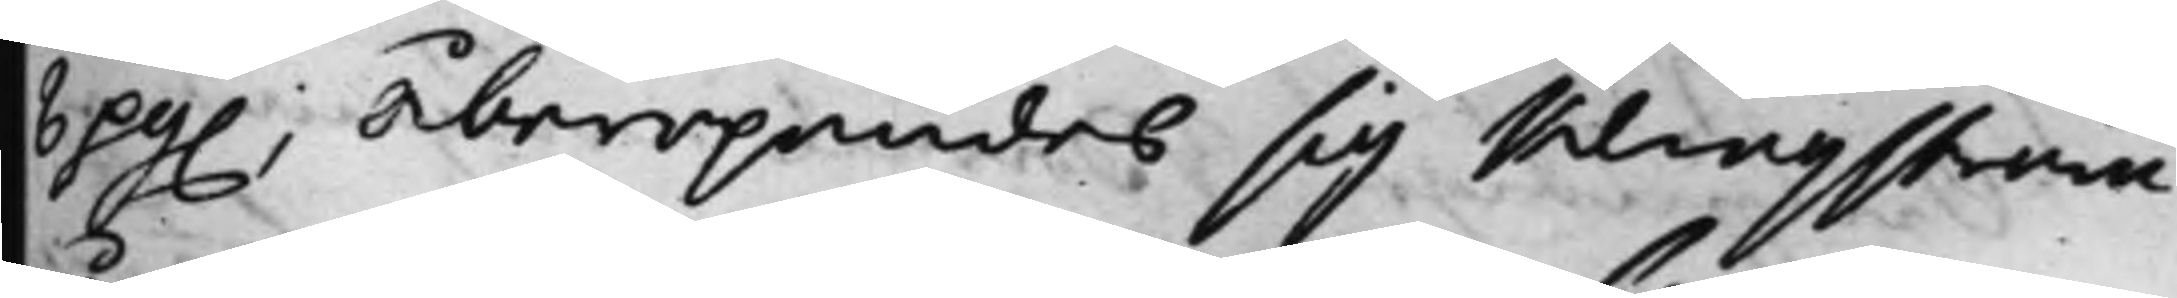6 pg.; Åberopandes sig Klingström
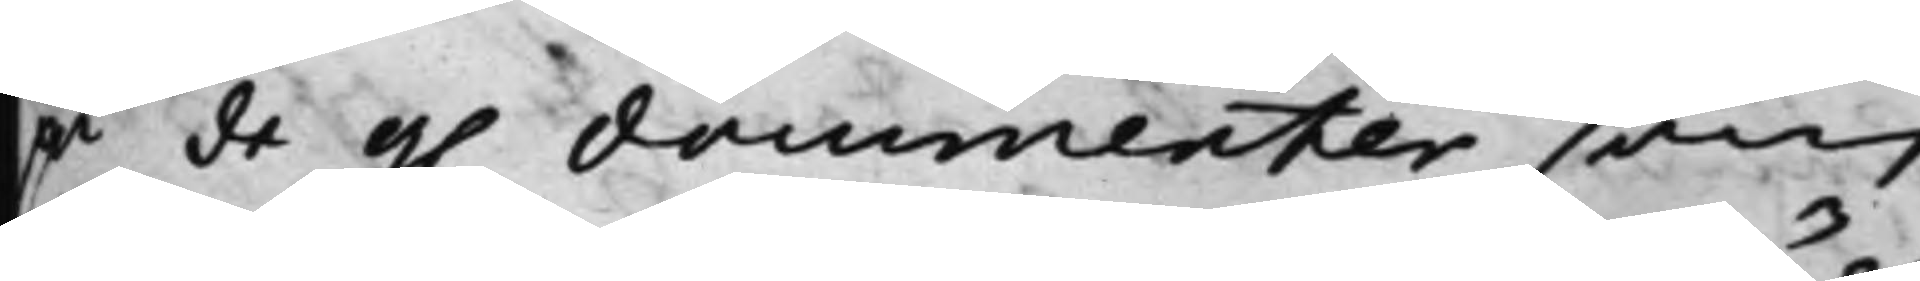på de g. documenter som
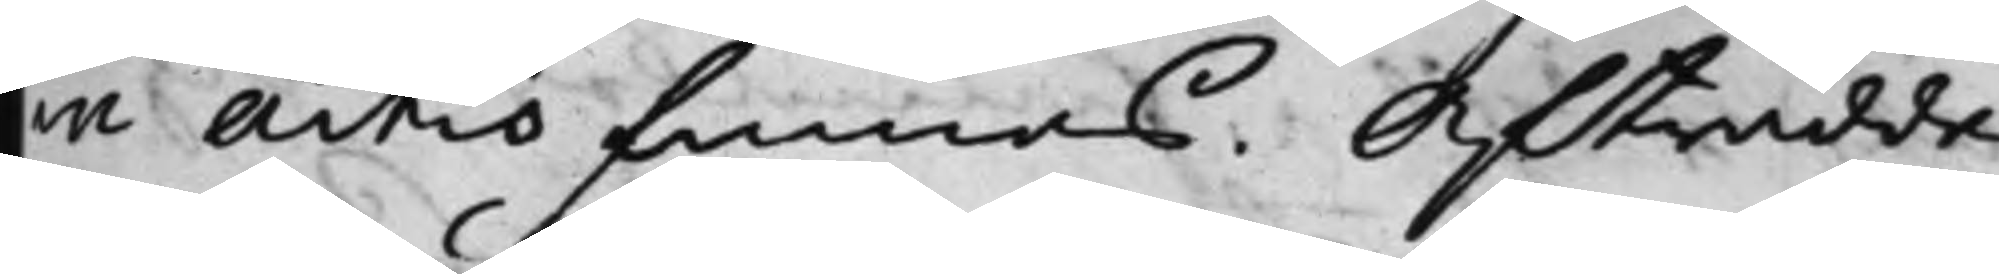in Actis finnas. Afträdde.
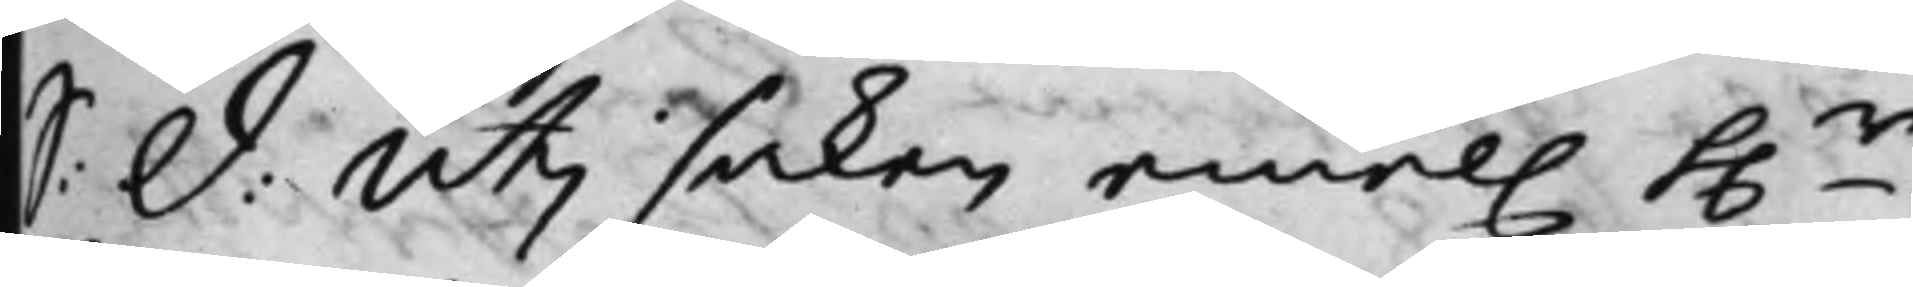S: d: Uti saken emel. h.r
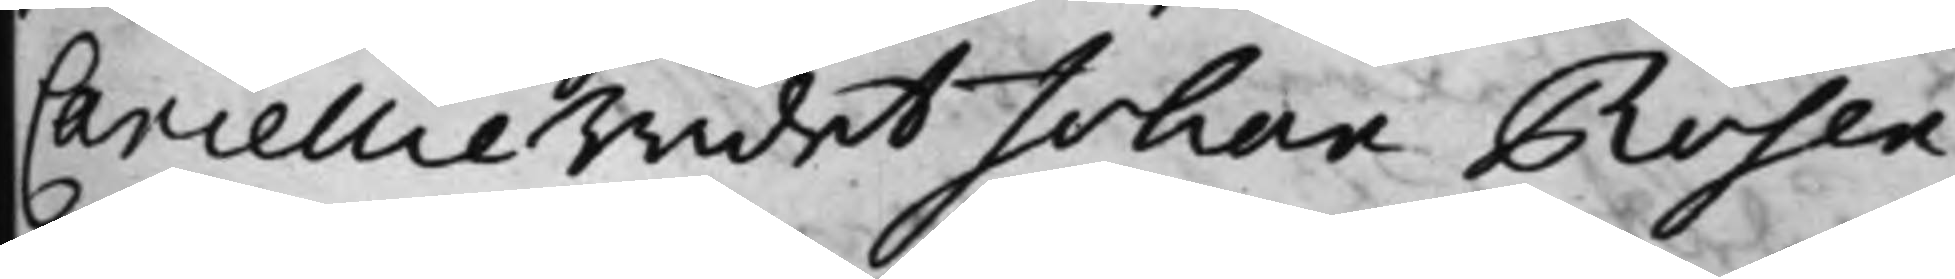CancellieRådet Johan Rosen¬
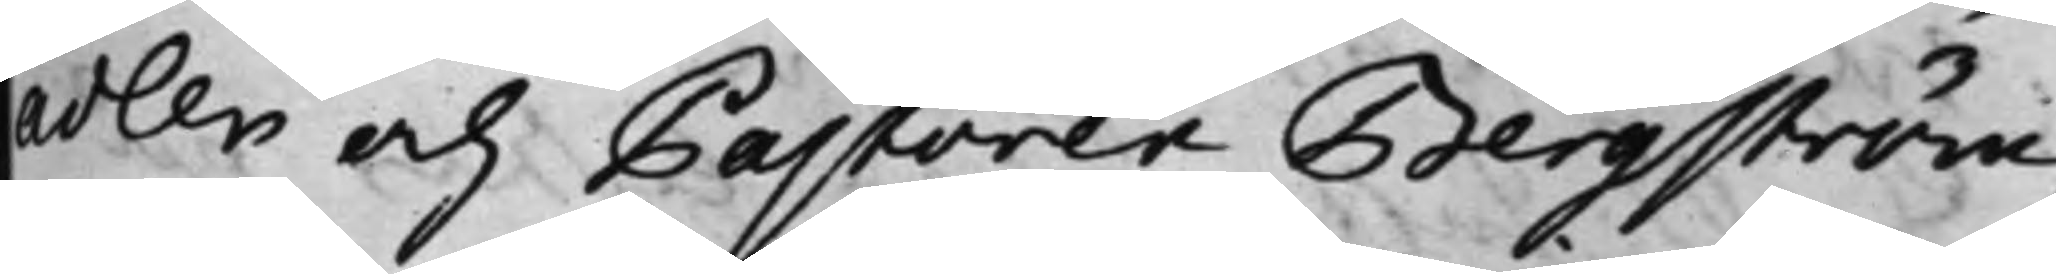adler och Pastoren Bergström,
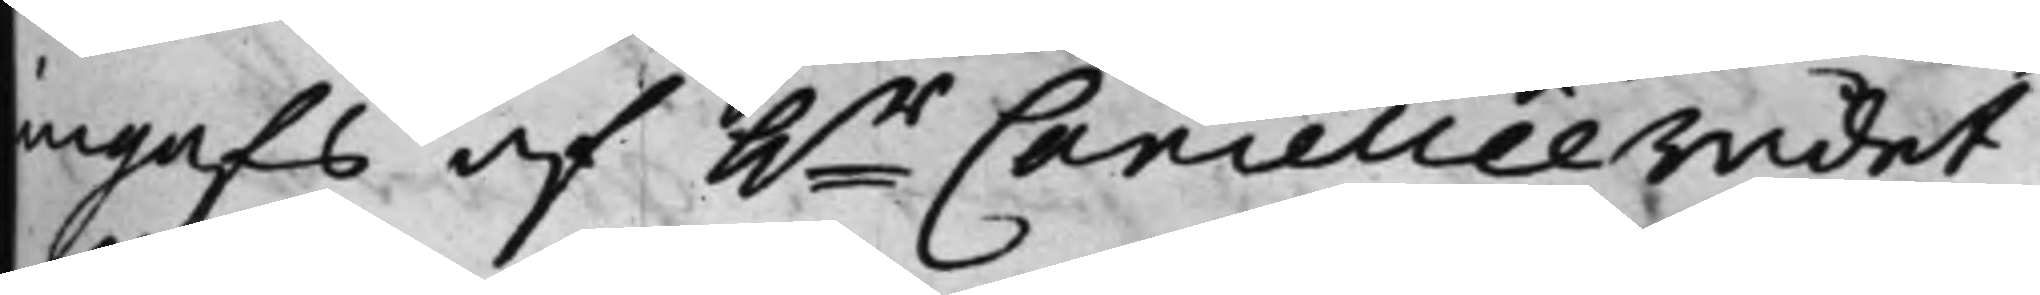ingafs af h.r CancellieRådet
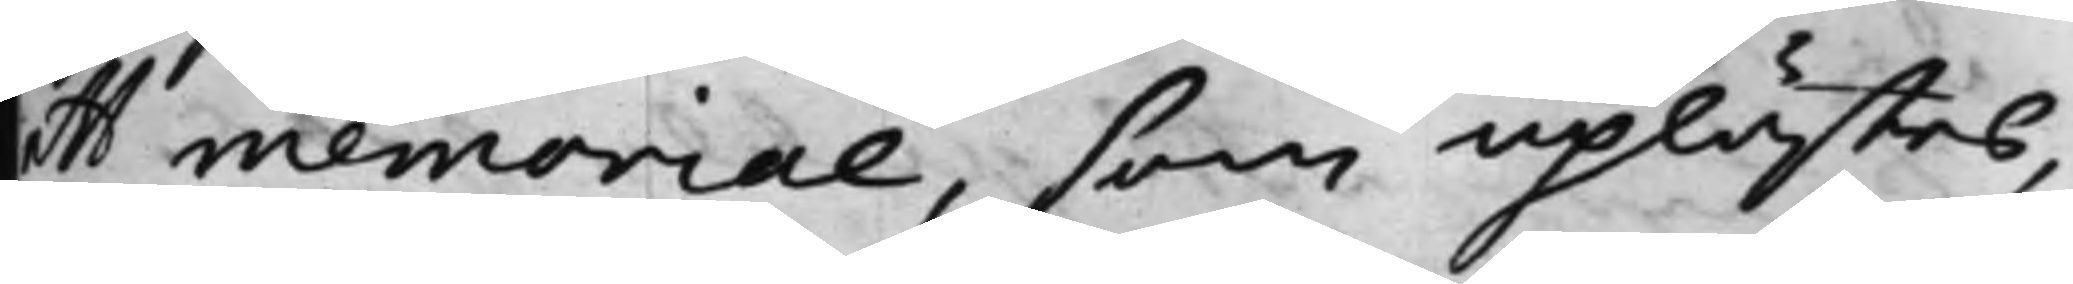ett memorial, som uplästes,
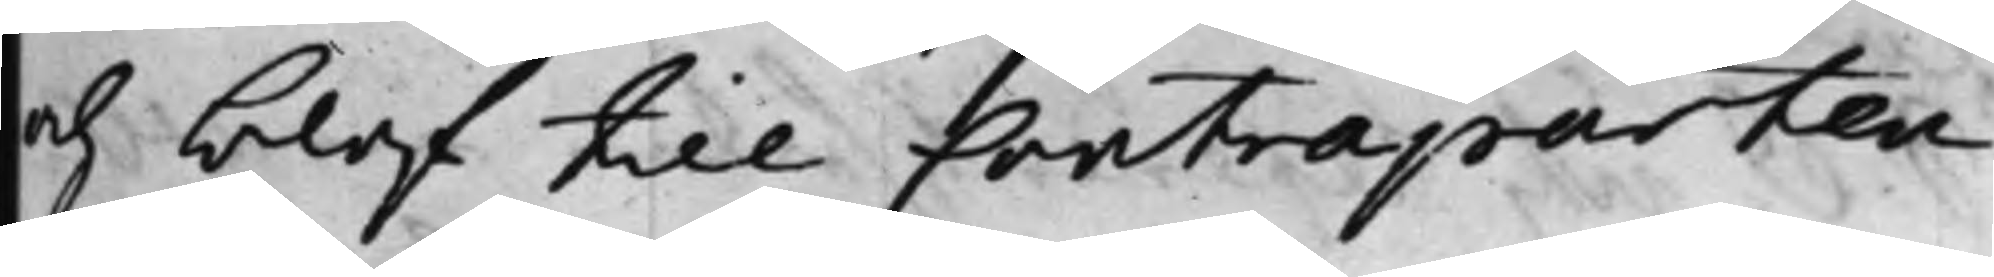och blef till Contraparten
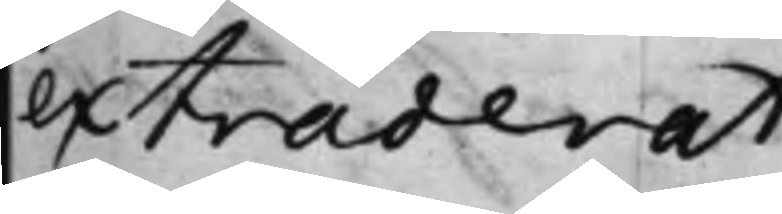extraderat.
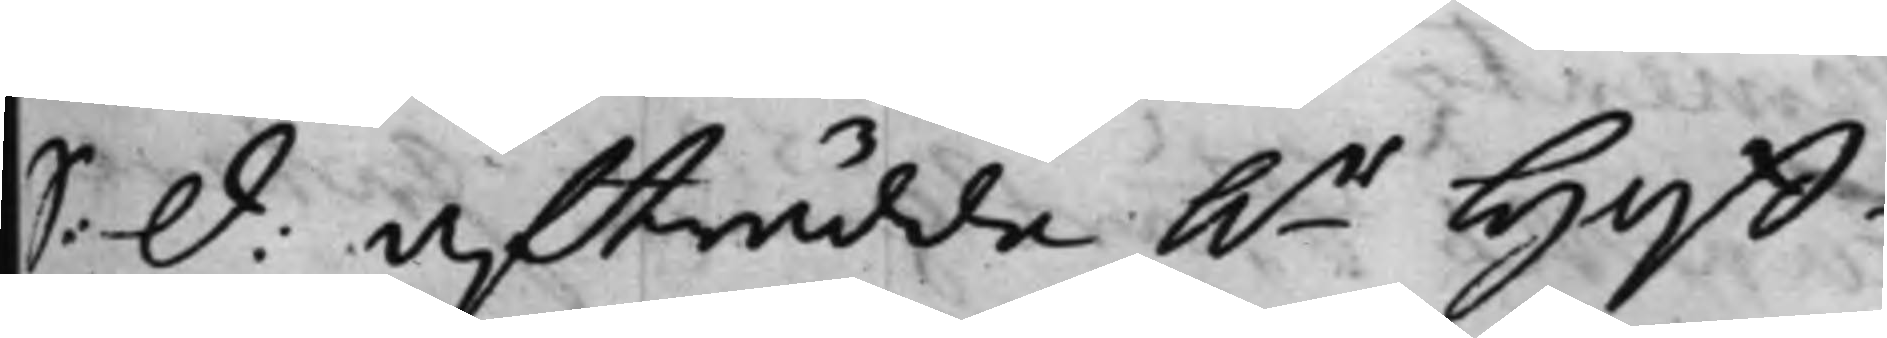S: d: Afträdde h.r Hoff¬
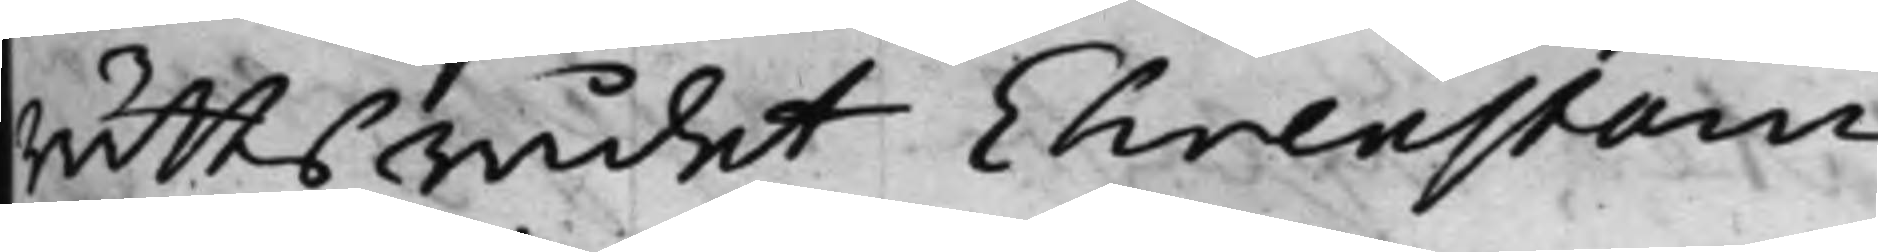RättsRådet Ehrenstam
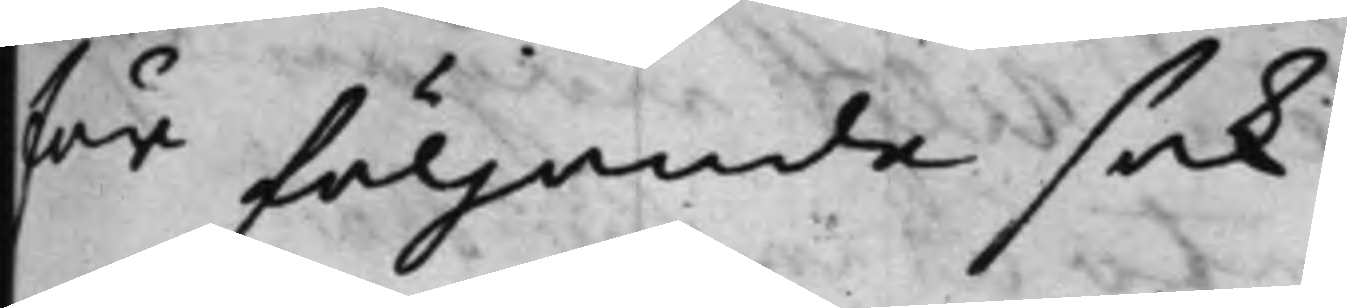för följande sak.
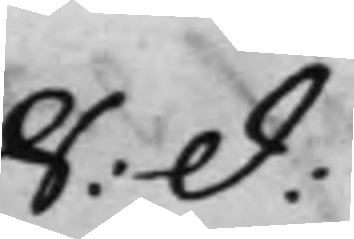S: d:
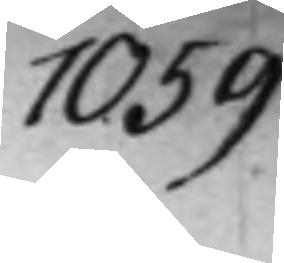1059
